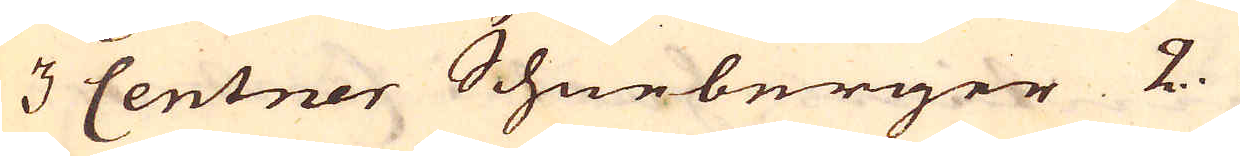3 Centner Schneberger 2.
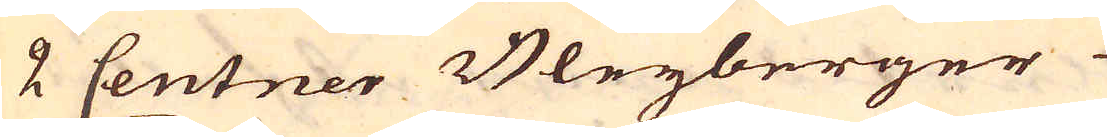2 Centner Bleyberger
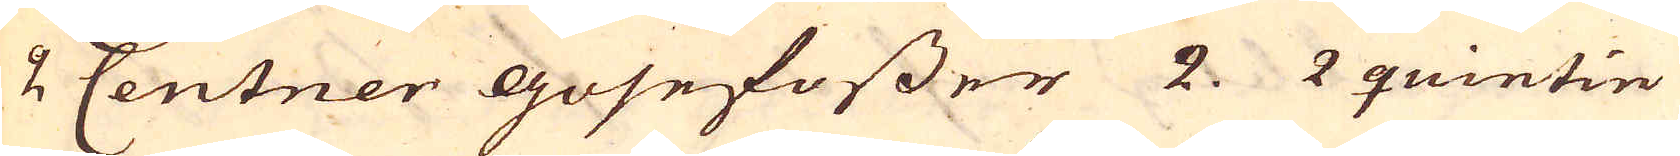2 Centner gosefosser 2. 2 quintin
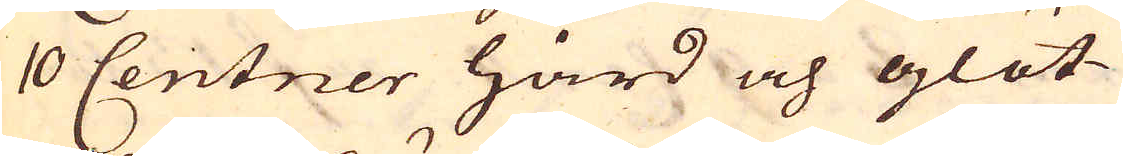10 Centner hård och glöt-
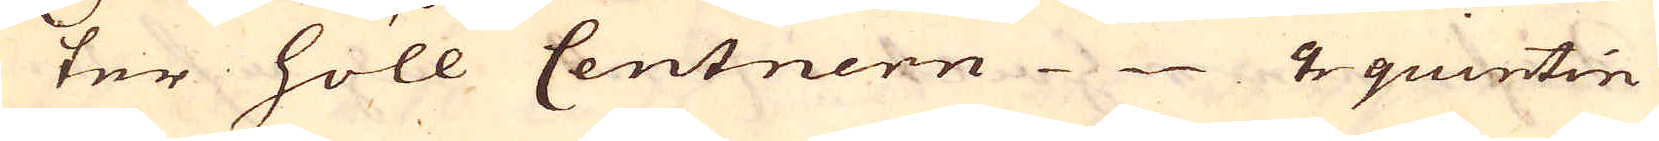ter höll Centnern 2 quintin
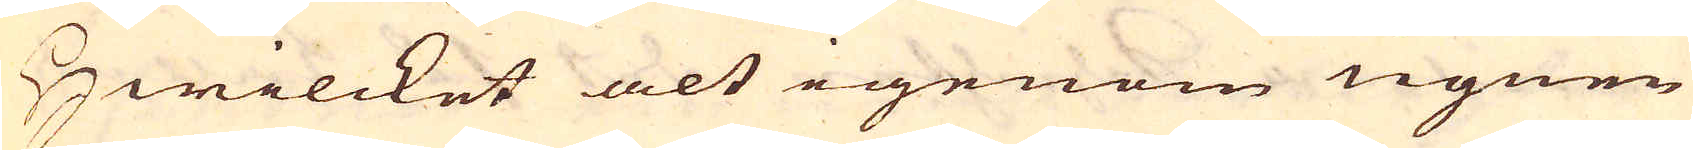Hwilcket alt igenom ugnen
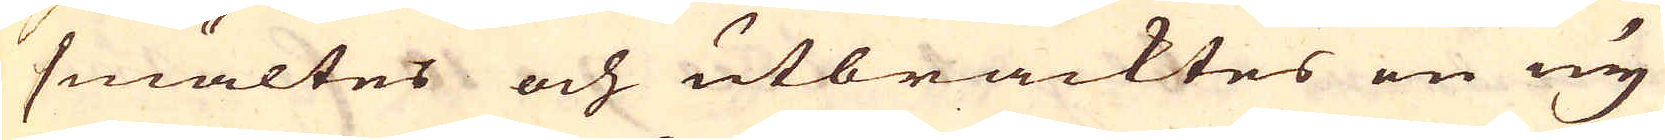smältes och utbracktes en ny
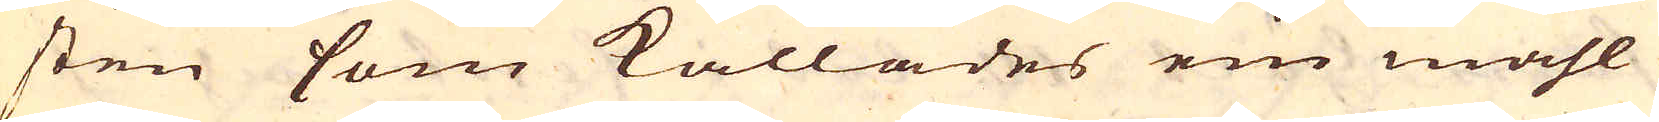sten som kallades ein mahl
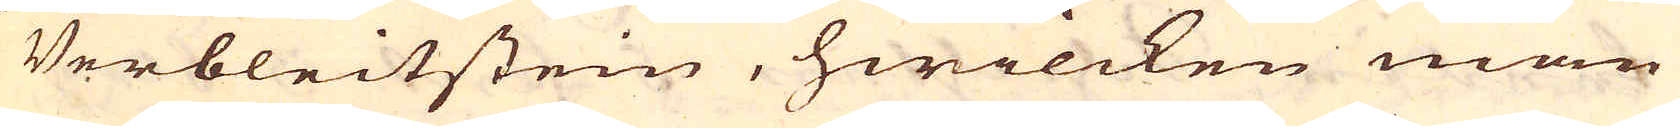Verbleitstein, hwilcken man
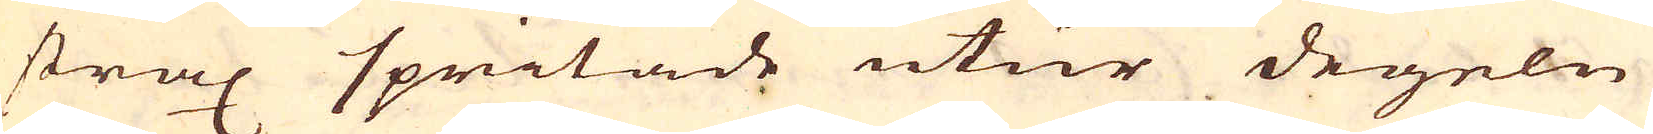strax spritade utur degeln
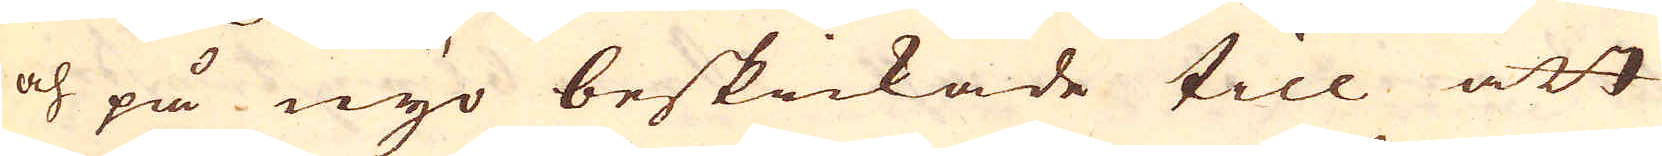och på nyo beskickade till att
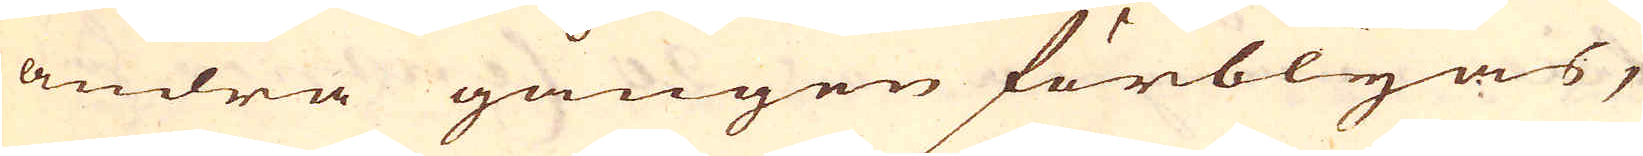andra gången förblyas,
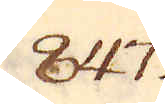847.
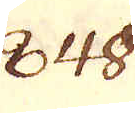848.
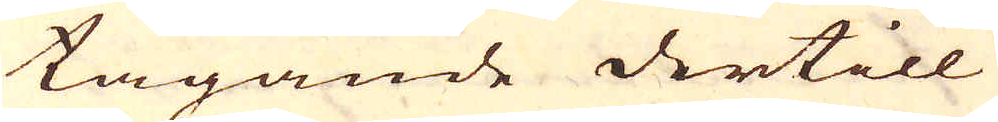tagande dertill
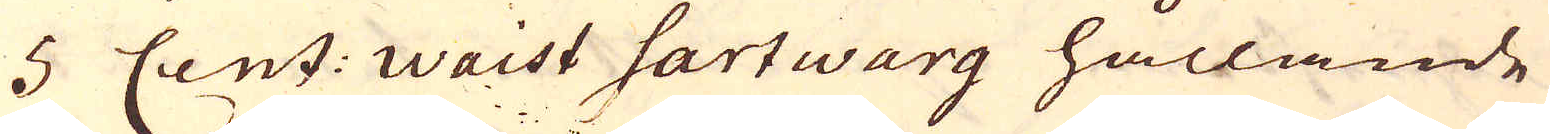5 Cent: Waist hartwarg hållande
